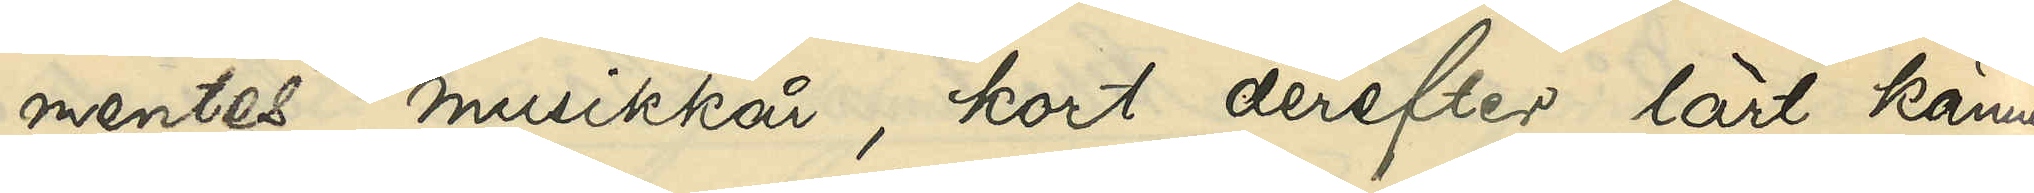mentes musikkår, kort derefter lärt känna
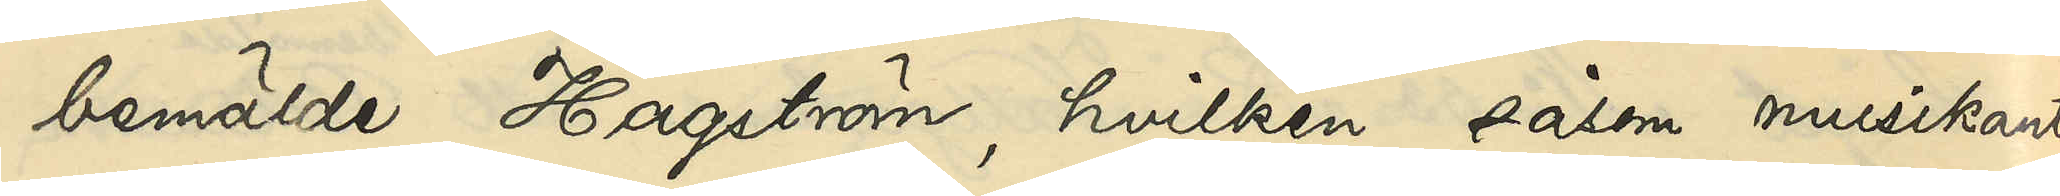bemälde Hagström, hvilken såsom musikant
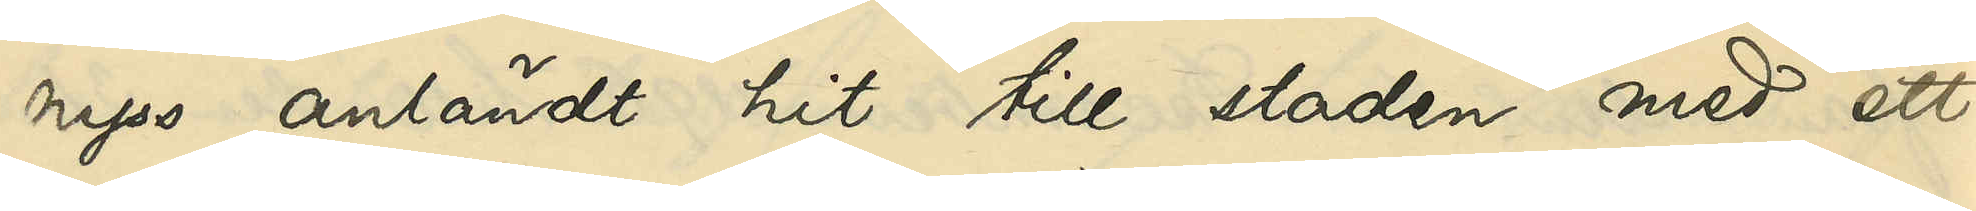nyss anländt hit till staden med ett
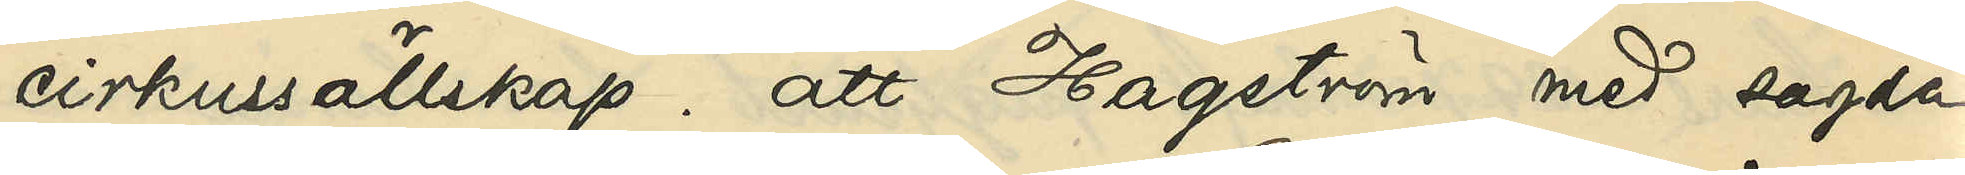cirkussällskap; att Hagström med sagda
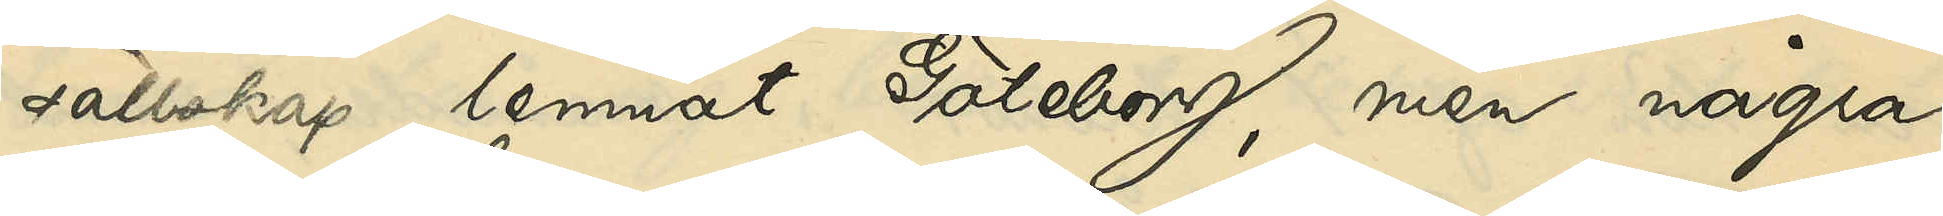sällskap lemnat Göteborg, men några
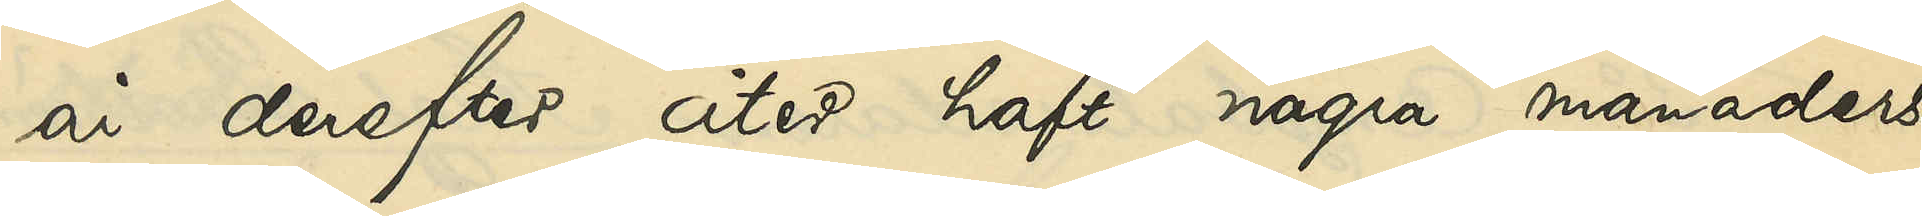år derefter åter haft några månaders
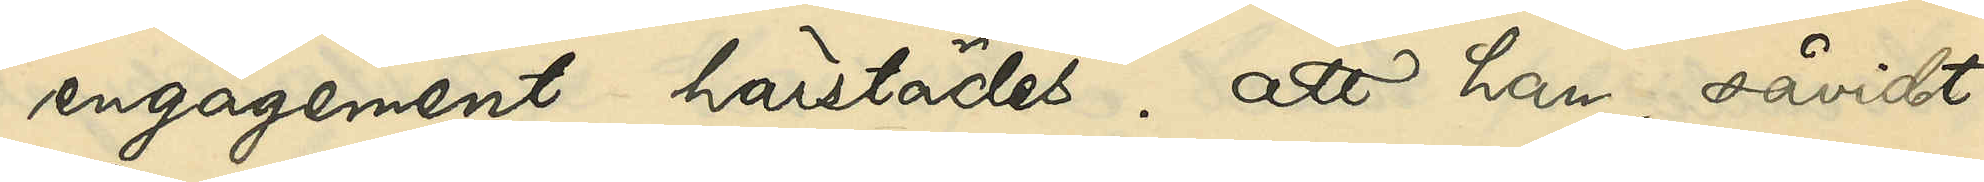engagement härstädes; att han, såvidt
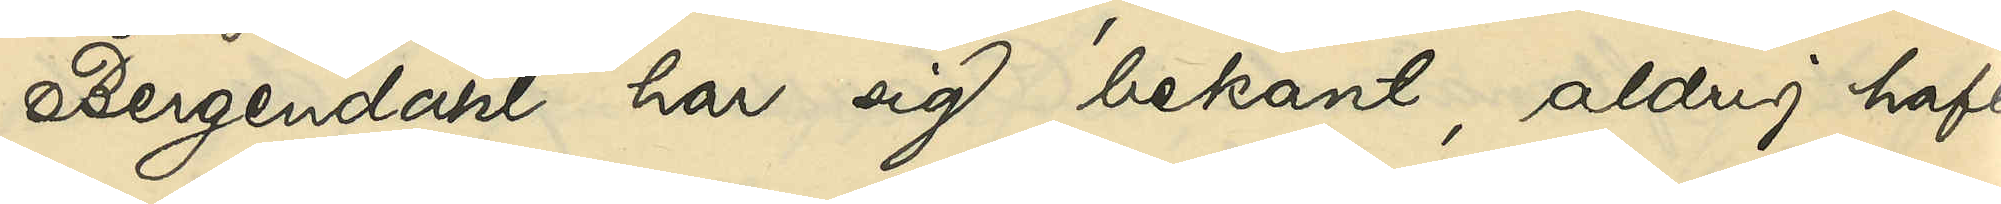Bergendahl har sig bekant, aldrig haft
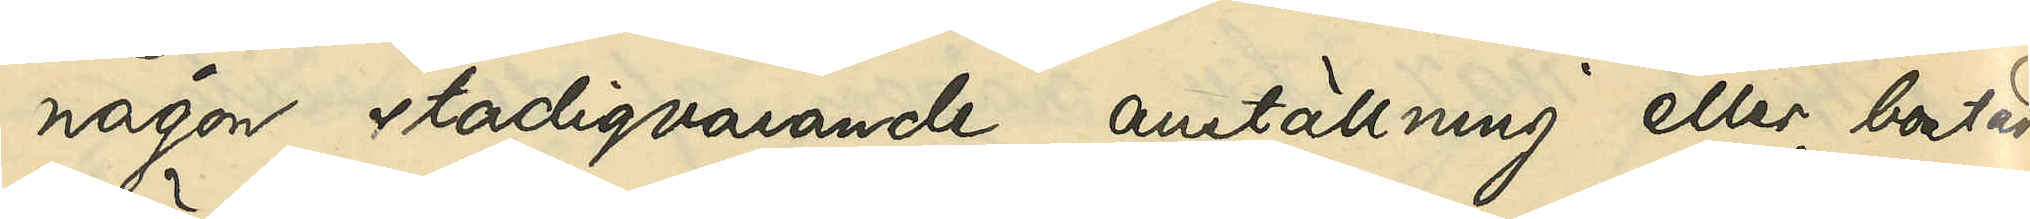någon stadigvarande anställning eller bostad
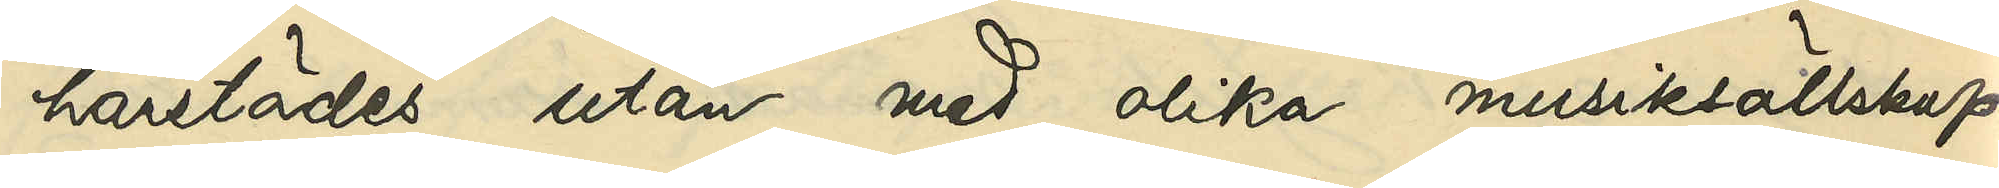härstädes utan med olika musiksällskap
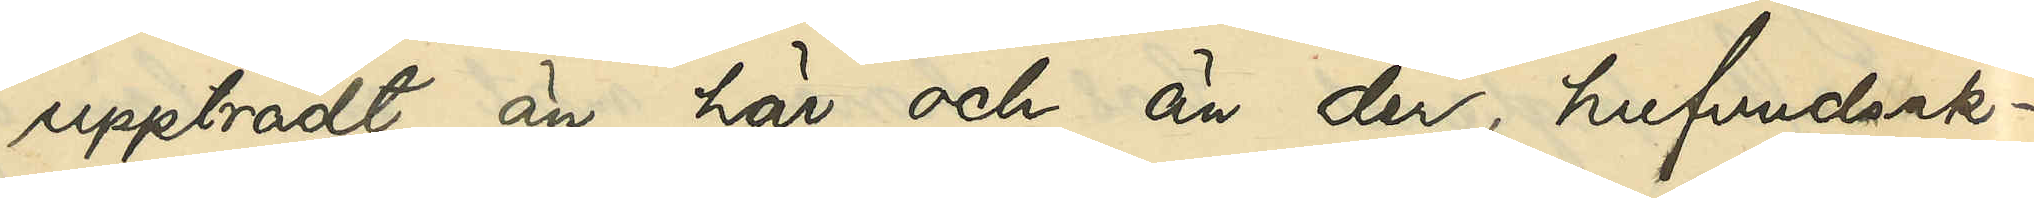uppträdt än här och än där hufvudsak¬
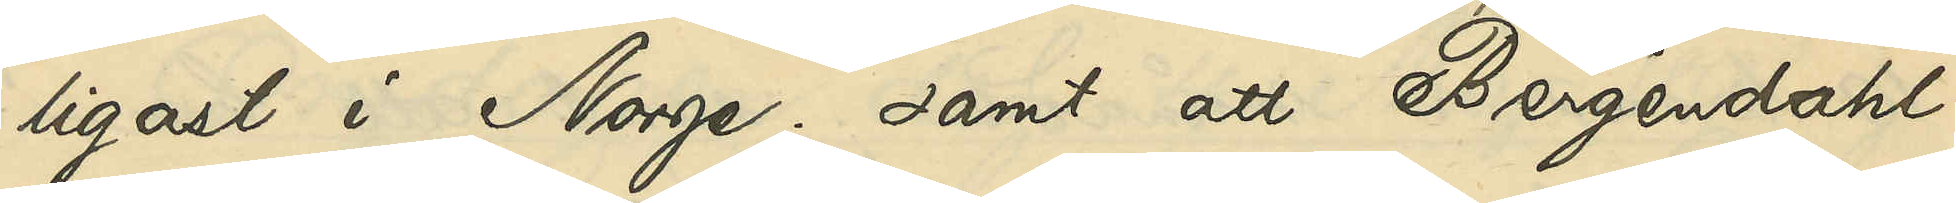ligast i Norge; samt att Bergendahl
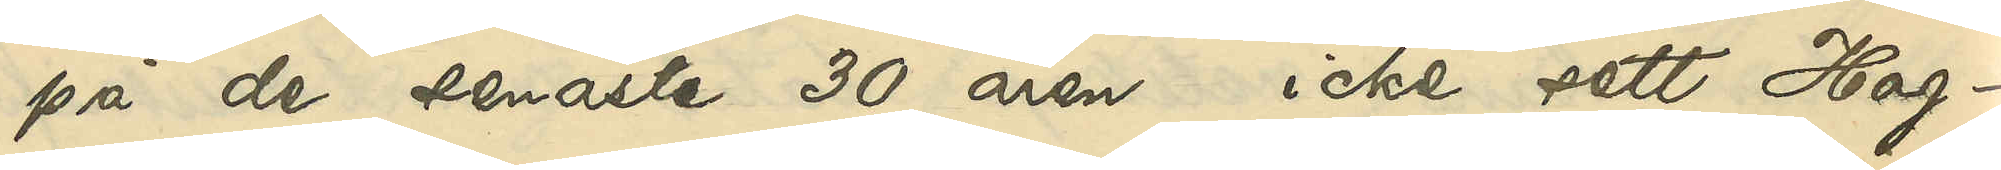på de senaste 30 åren icke sett Hag¬
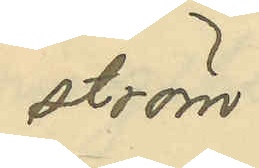ström.
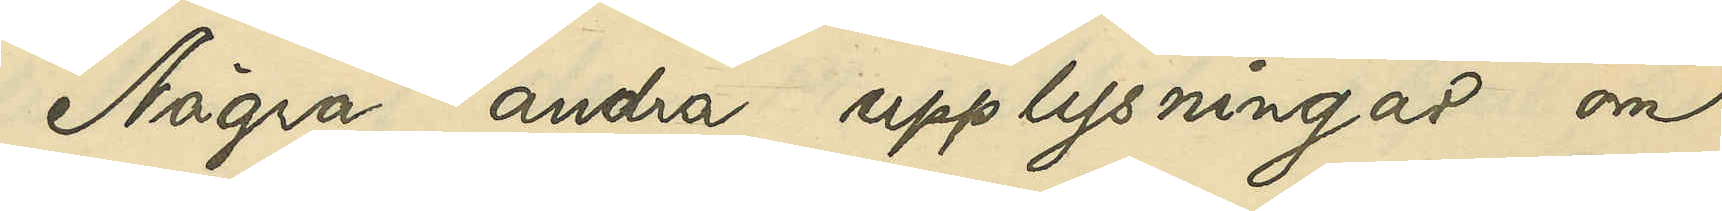Några andra upplysningar om
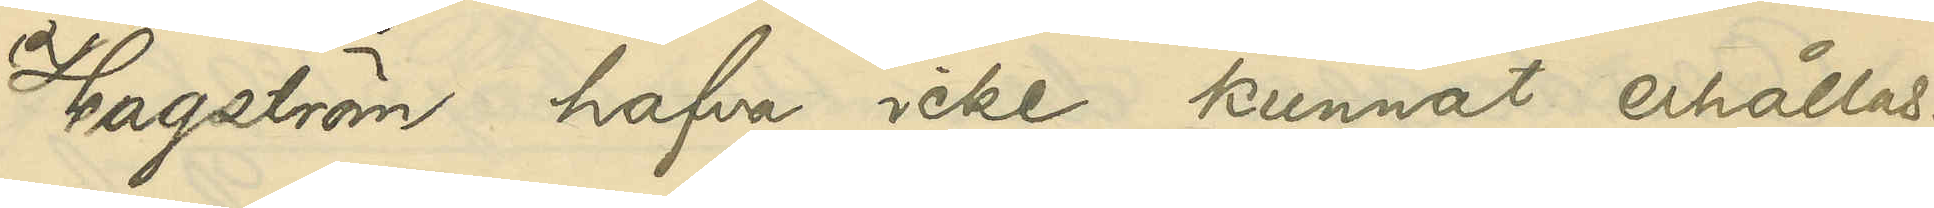Hagström hafva icke kunnat erhållas.
